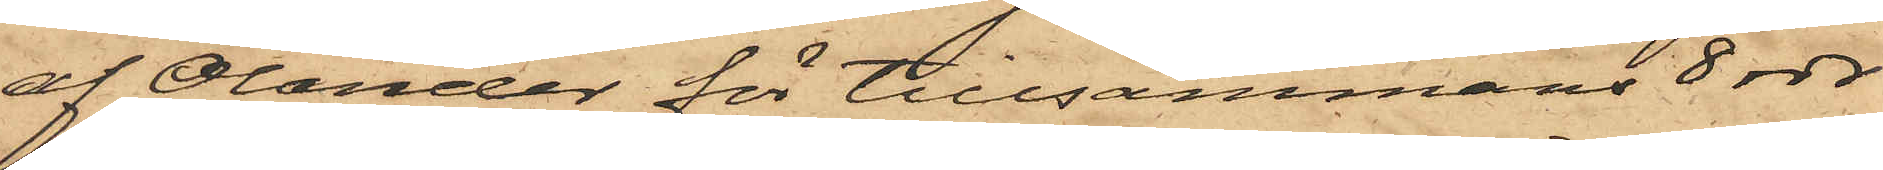af Olander för tillsammans 8 rdr
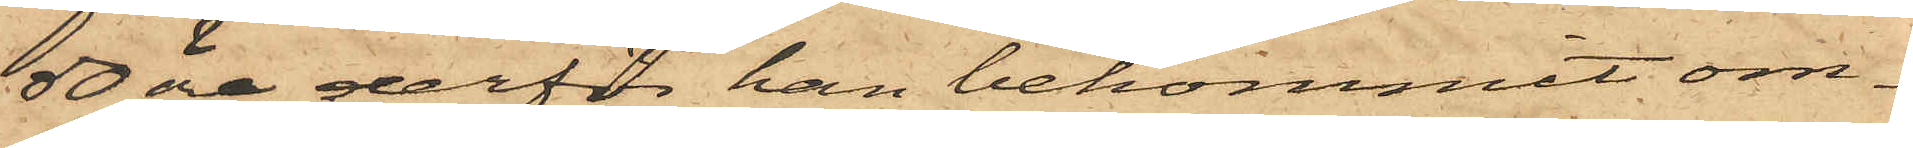50 öre, derför han bekommit om¬
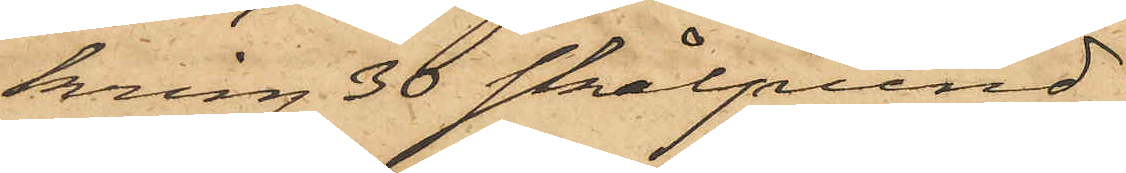kring 36 skålpund
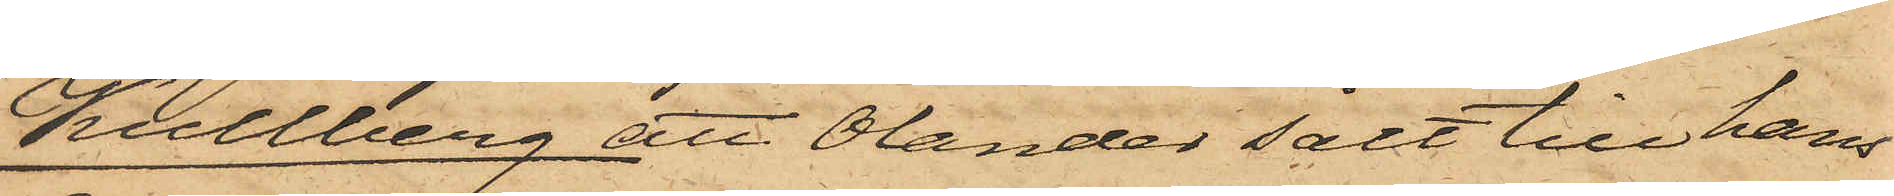Kullberg, att Olander sålt till hans
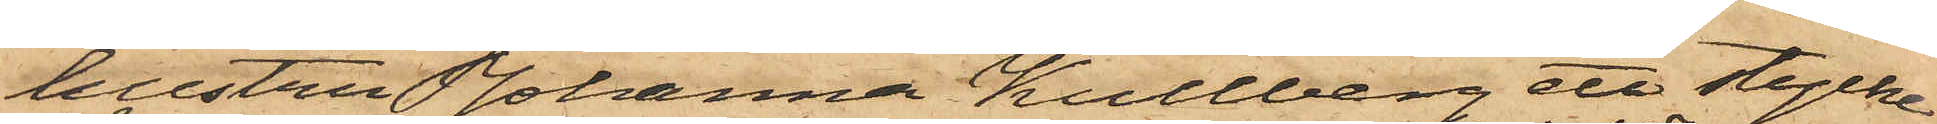hustru Johanna Kullberg ett stycke
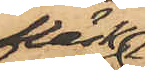fläsk
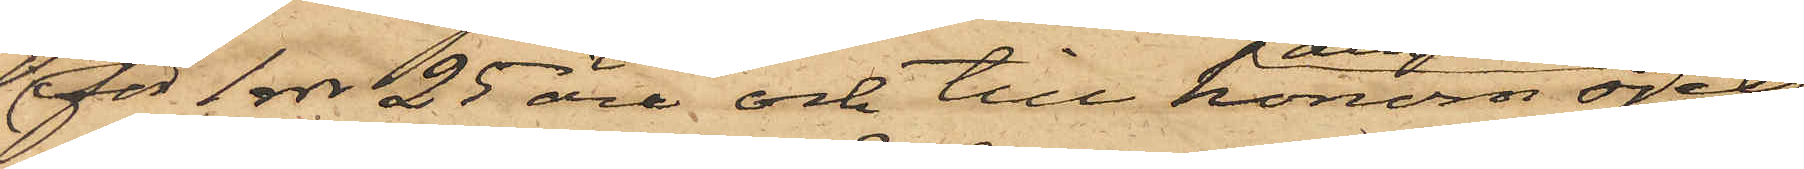för 1 rdr 25 öre och till honom sjelf
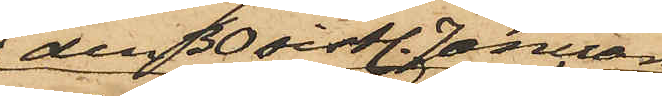den 30 sistl. Januari
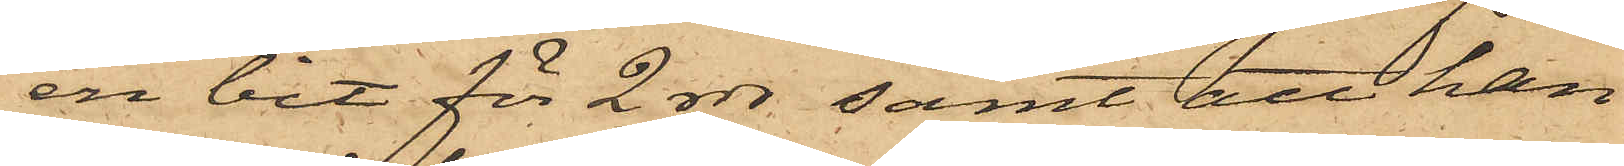en bit för 2 rdr samt att han
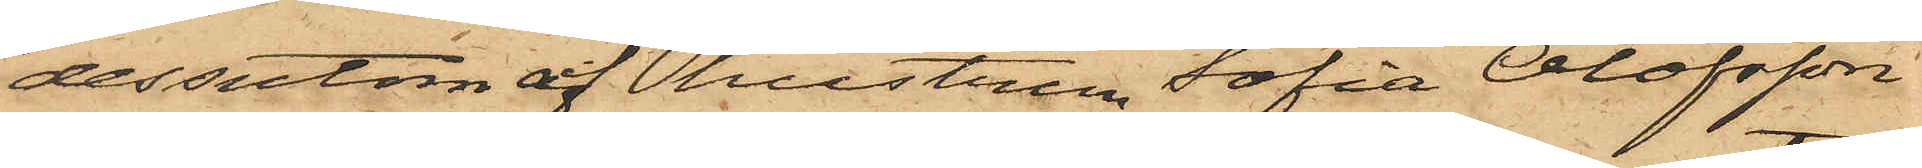dessutom af hustrun Sofia Olofsson
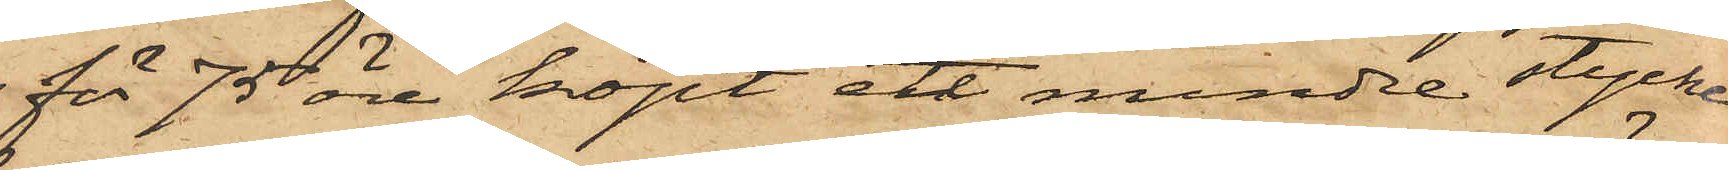för 75 öre köpt ett mindre stycke
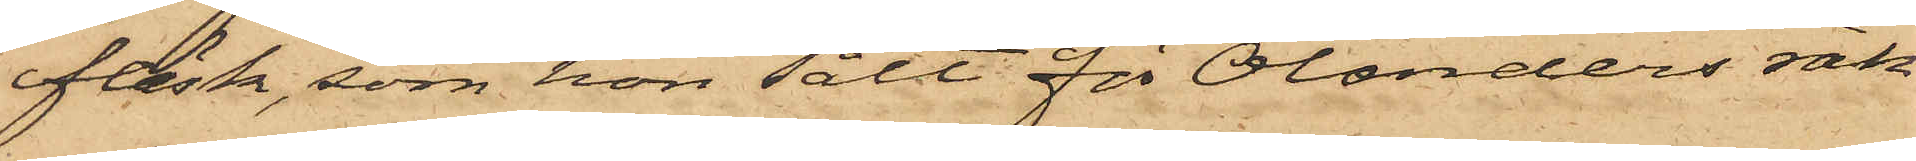fläsk, som hon sålt för Olanders räk¬
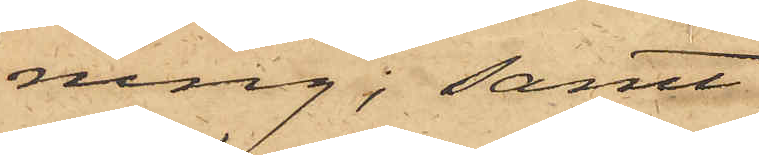ning; samt
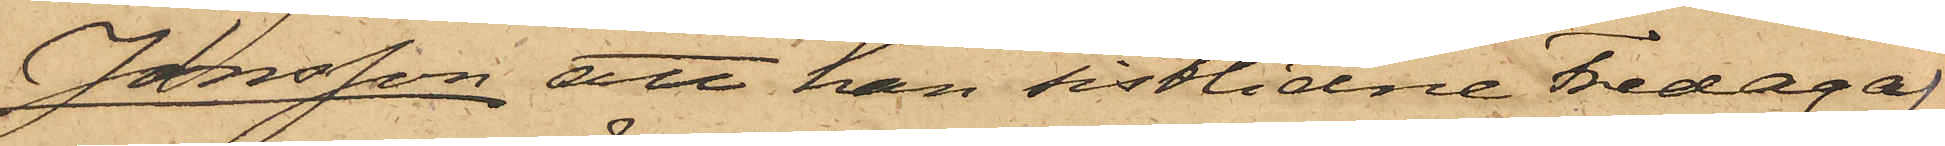Jonsson att han sistlidne Fredag af
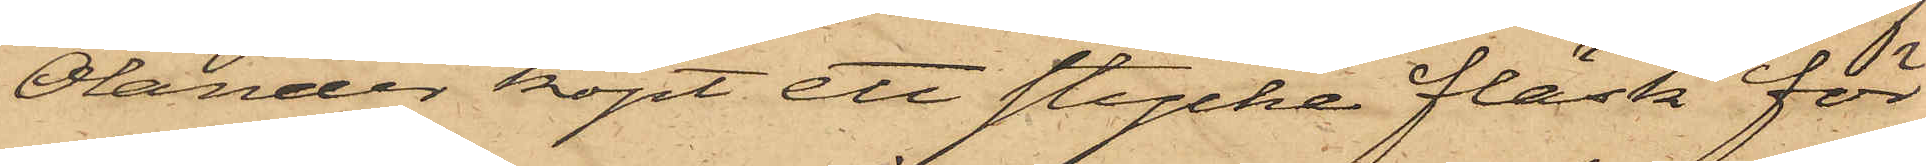Olander köpt ett stycke fläsk för
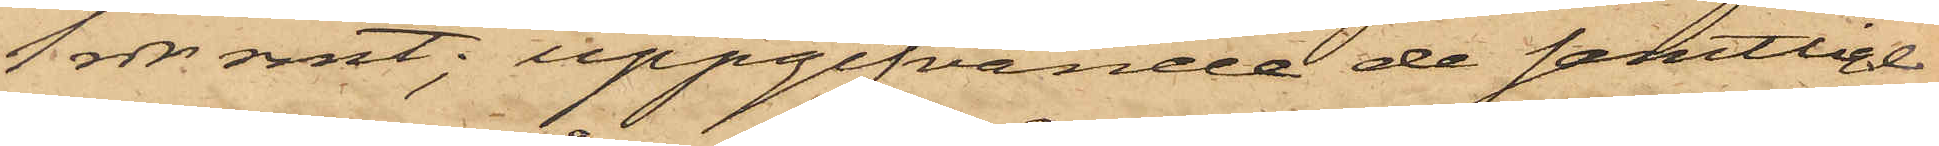1 rdr rmt; uppgifvande de samtlige
